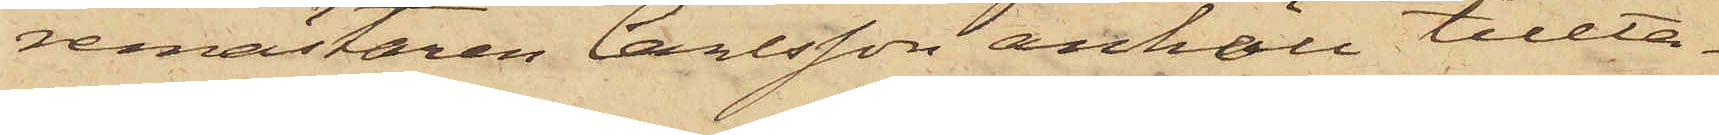remästaren Carlsson anhöll tillta¬
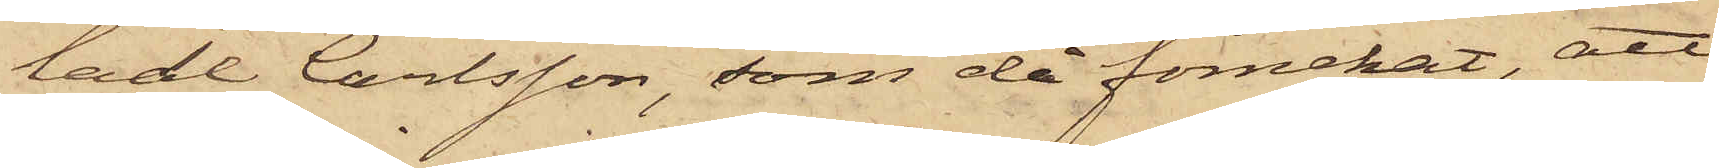lade Carlsson, som då förnekat, att
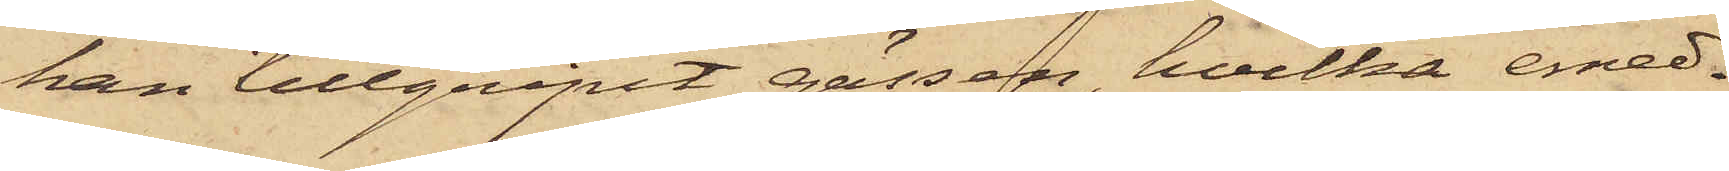han tillgripit gässen, hvilka emed¬
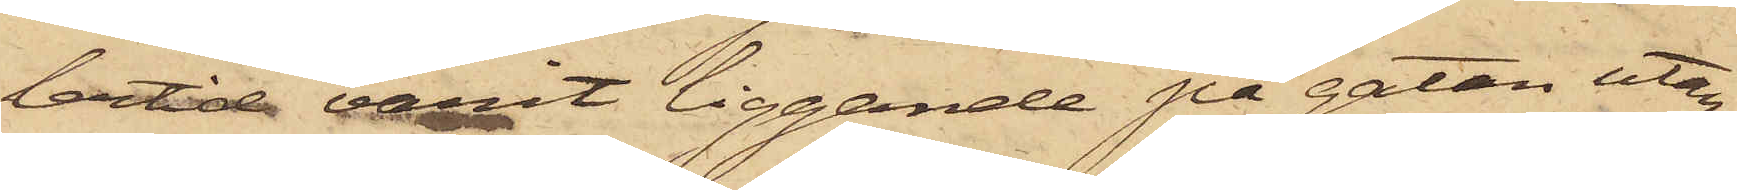lertid varit liggande på gatan utan¬
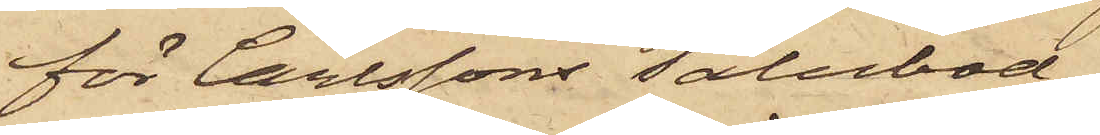för Carlssons salubod,
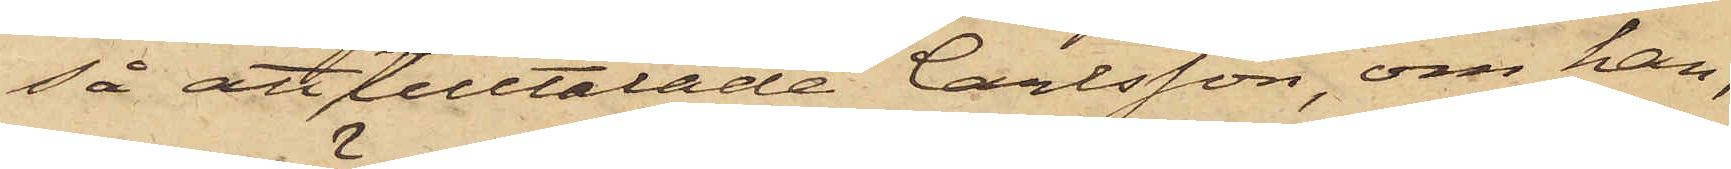så att tilltalade Carlsson, om han,
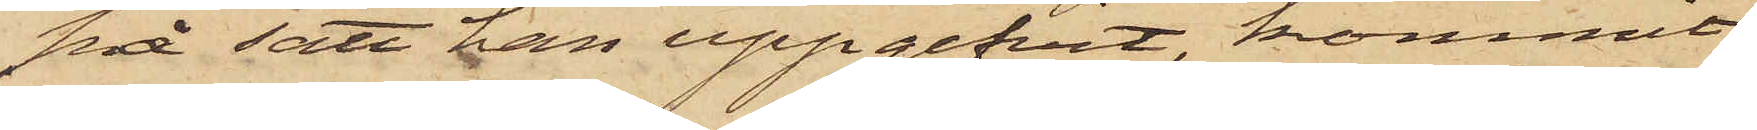på sätt han uppgifvit, kommit
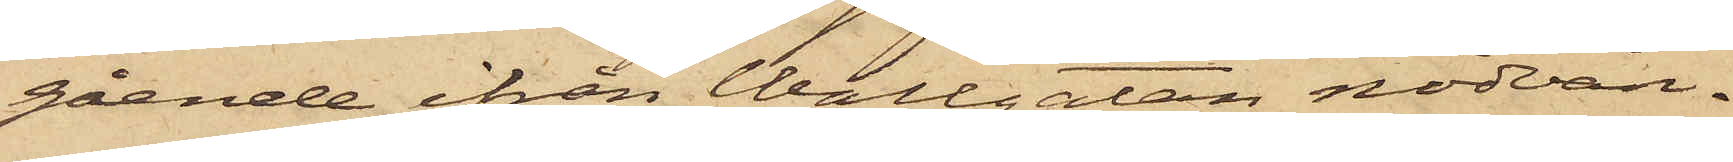gående ifrån Wallgatan nödvän¬
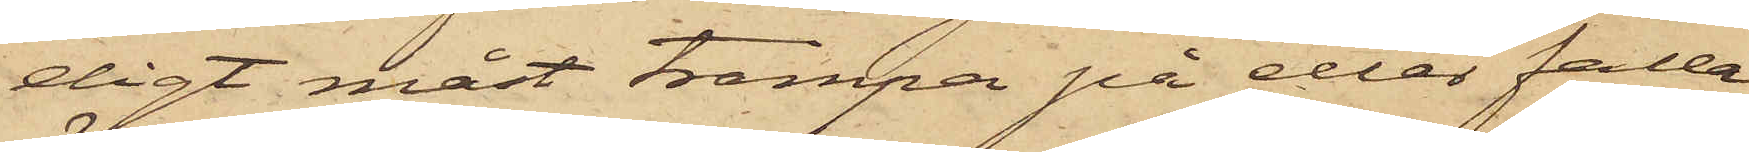digt måst trampa på eller falla
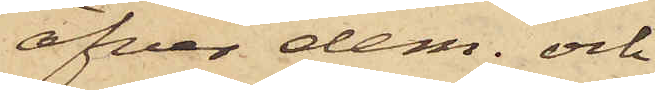öfver dem; och
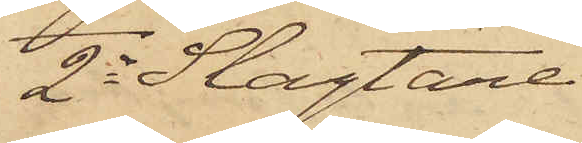2o Slagtare¬
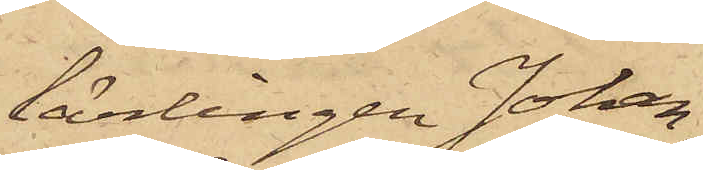lärlingen Johan¬
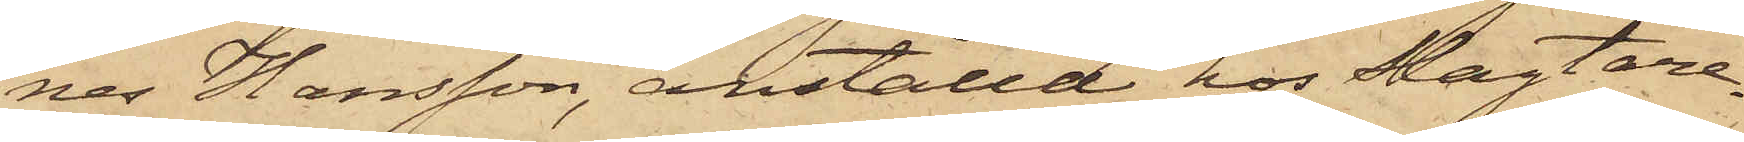nes Hansson, anställd hos Slagtare¬
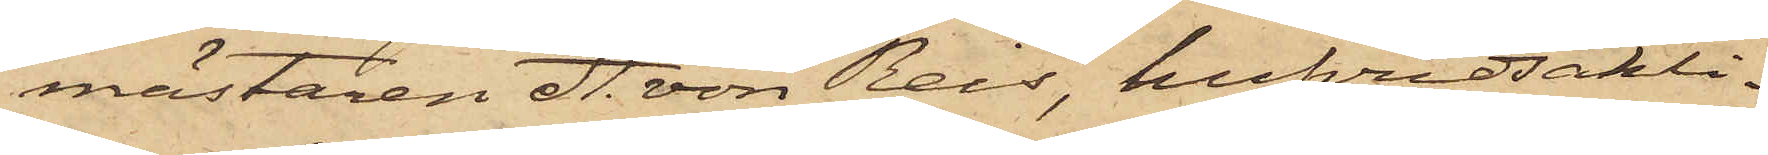mästaren A. von Reis, hufvudsakli¬
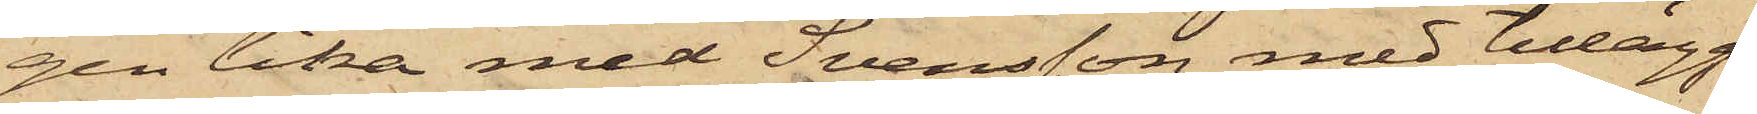gen lika med Svensson, med tillägg
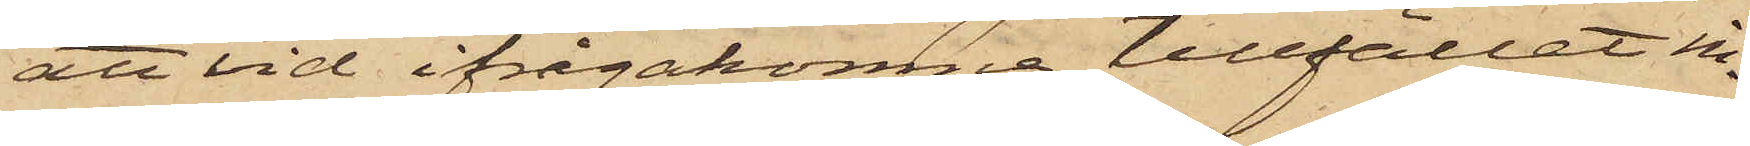att vid ifrågakomne tillfället in¬
